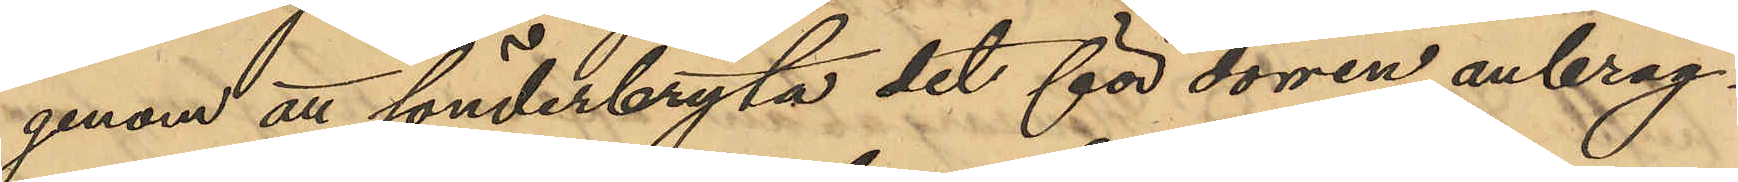genom att sönderbryta det för dörren anbrag¬
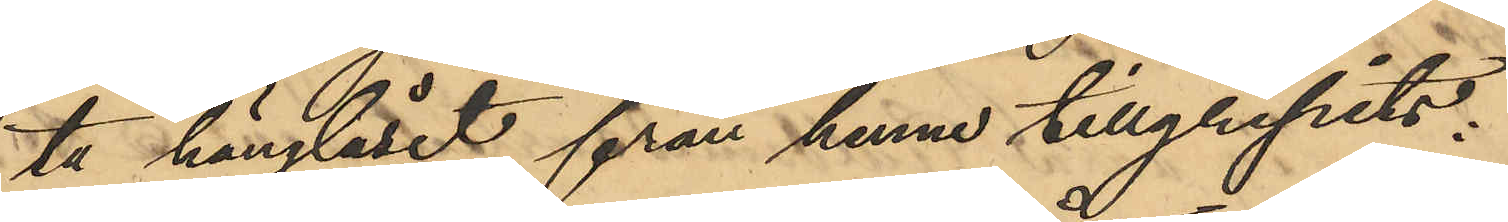ta hänglåset från henne tillgripits:
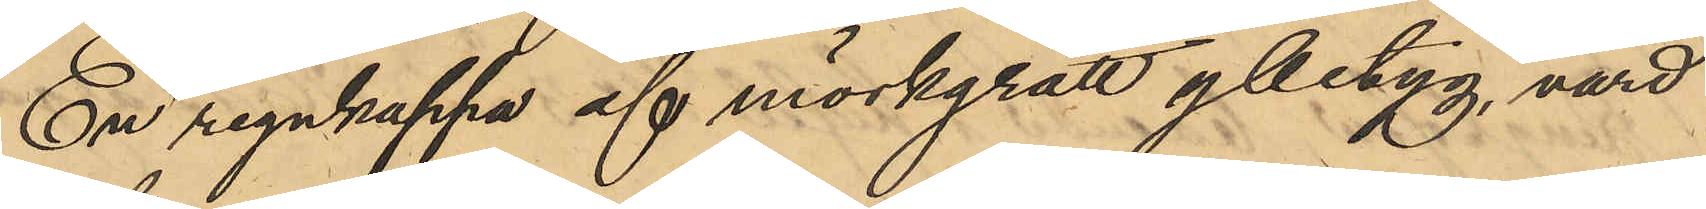En regnkappa af mörkgrått ylletyg, värd
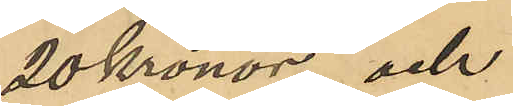20 Kronor och
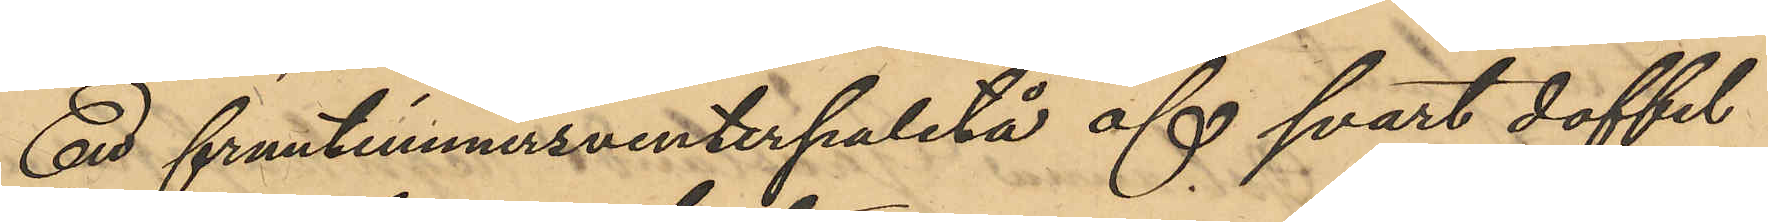Ent fruntimmersvinterpaletå af svart doffel
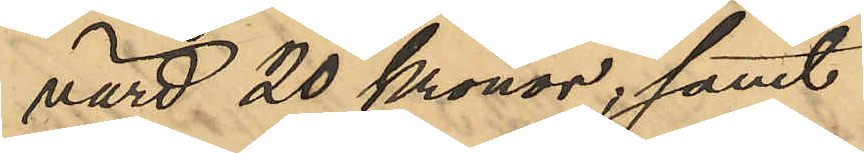värd 20 Kronor; samt
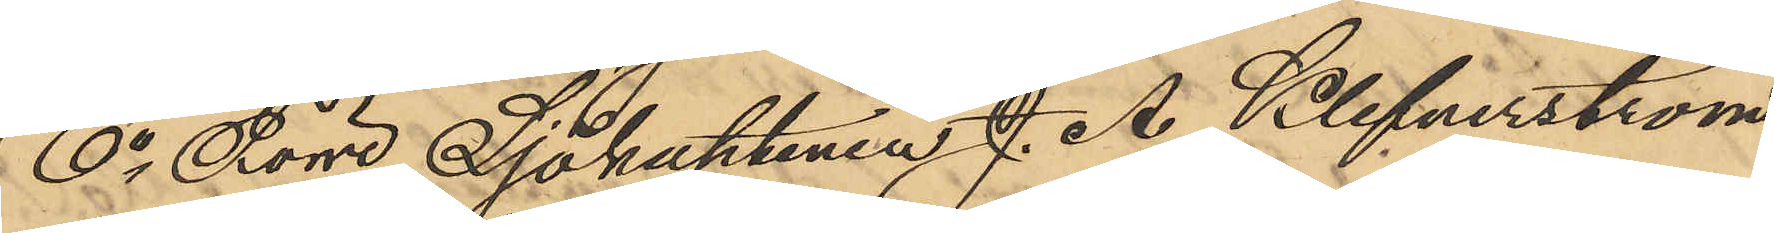6o Förre Sjökaptenen J. A. Klefverström
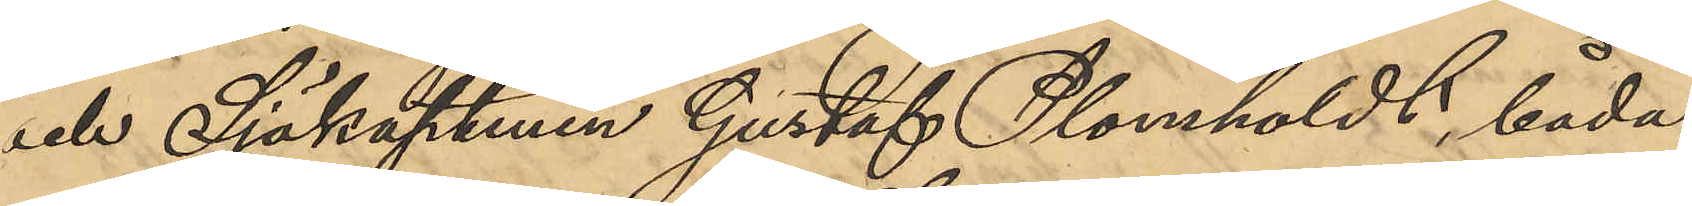och Sjökaptenen Gustaf Plomholdt, båda
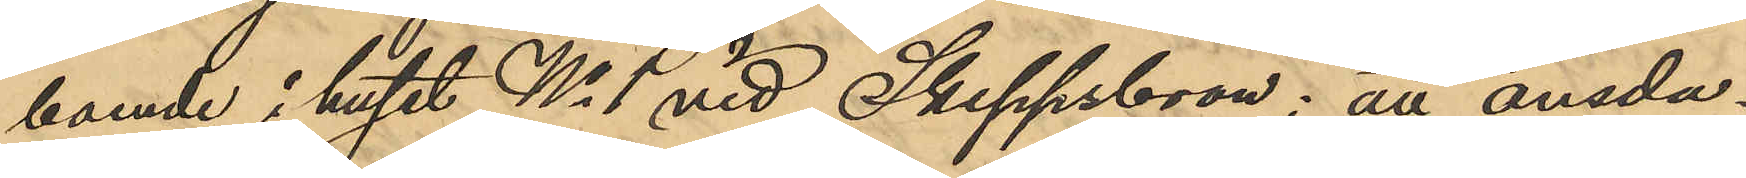boende i huset No 1 vid Skeppsbron: att onsda¬
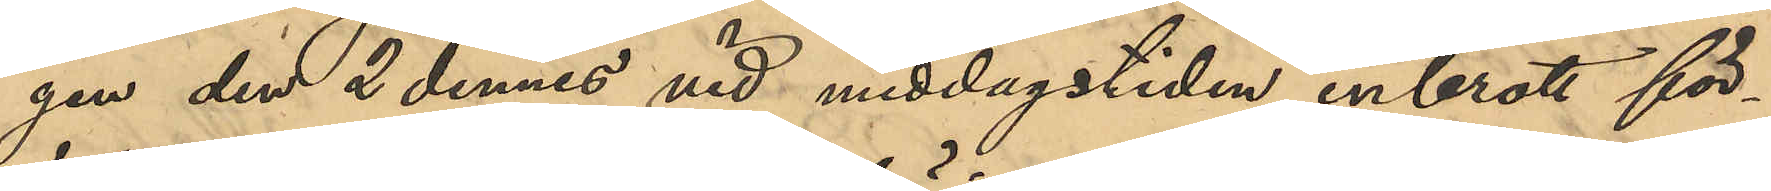gen den 2 dennes vid middagstiden inbrott för¬
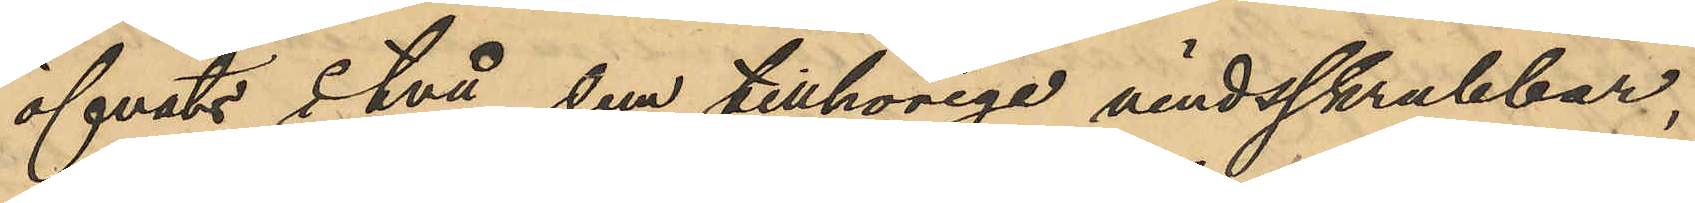öfvats i två dem tillhörige vindsskrubbar,
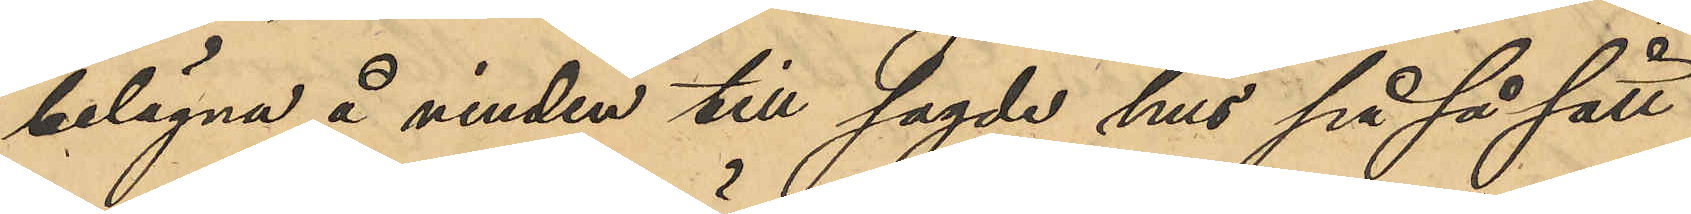belägna å vinden till sagde hus på så sätt
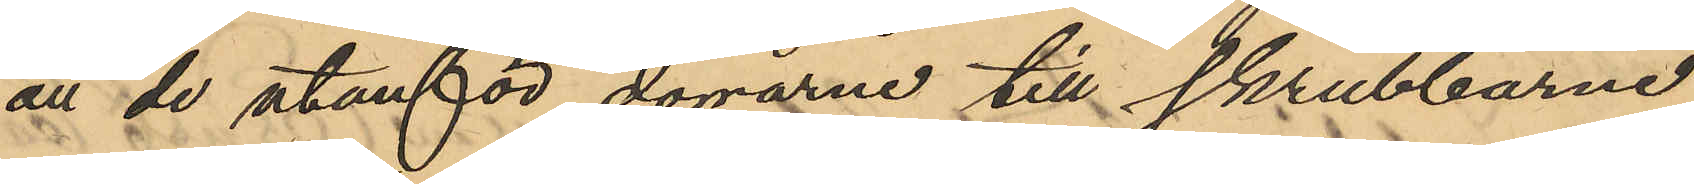att de utanför dörrarne till skrubbarne
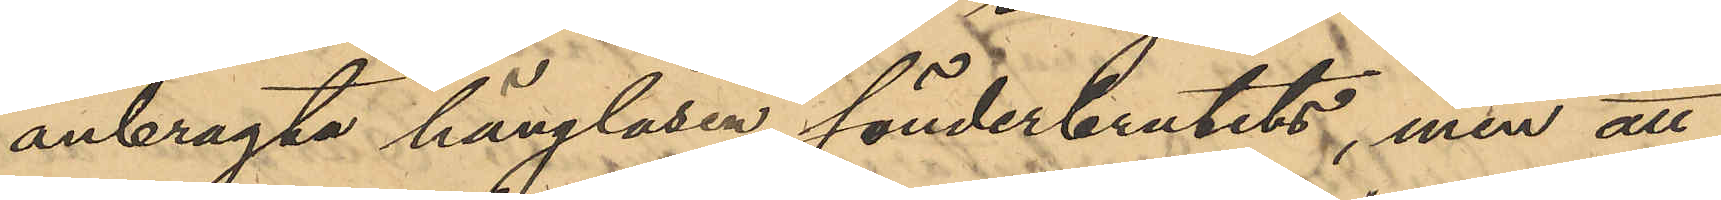anbragta hänglåsen sönderbrutits, men att
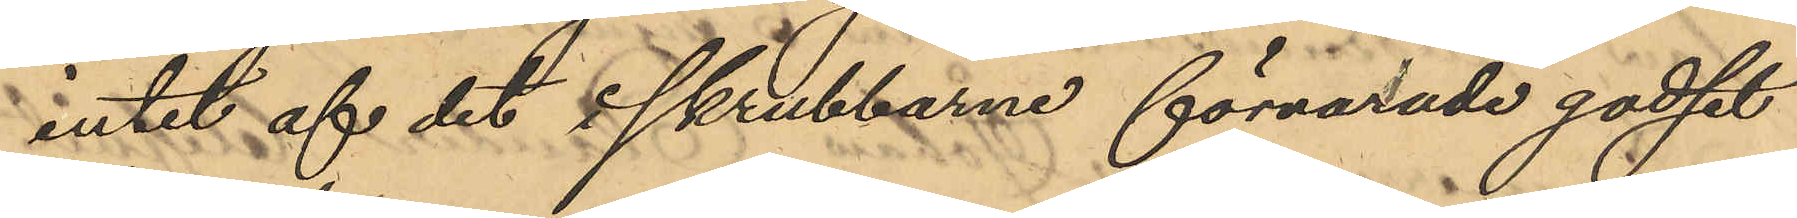intet af det i skrubbarne förvarade godset
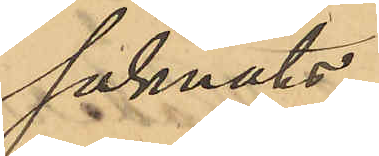saknats.
